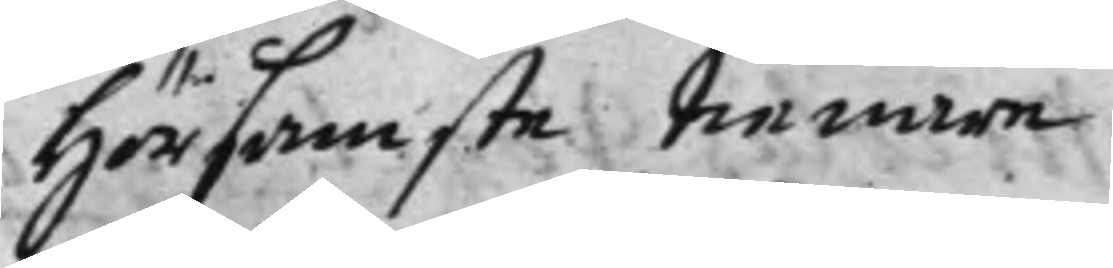Hörsamste tienare
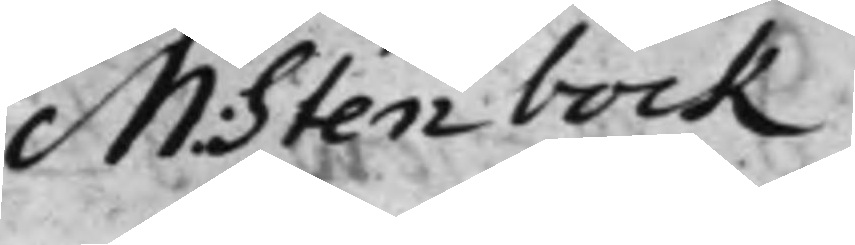M: Stenbock
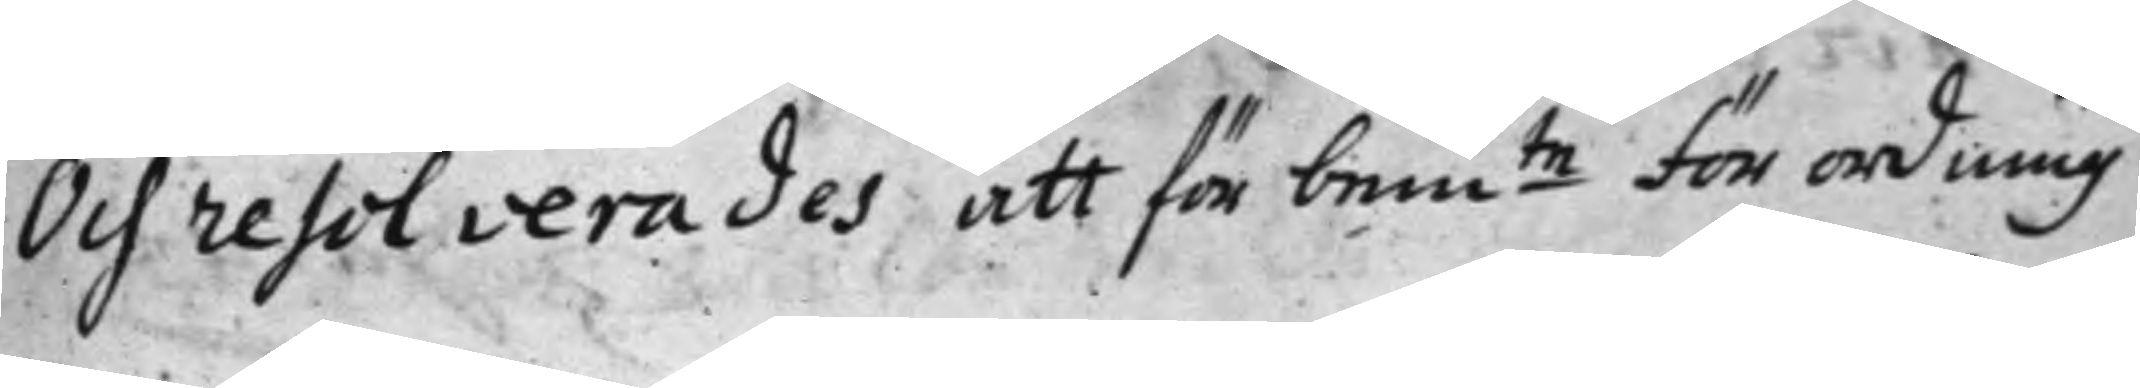Och resolverades att för bemte förordning 
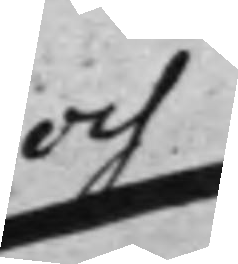och
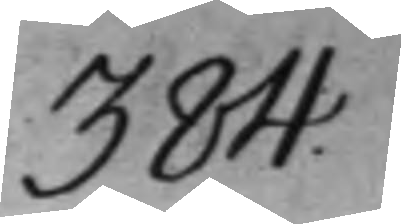384.
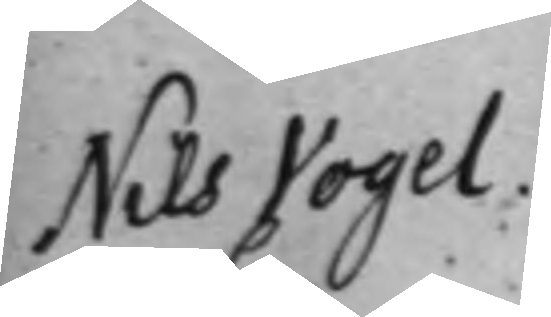Nils Vogel.
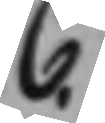C.
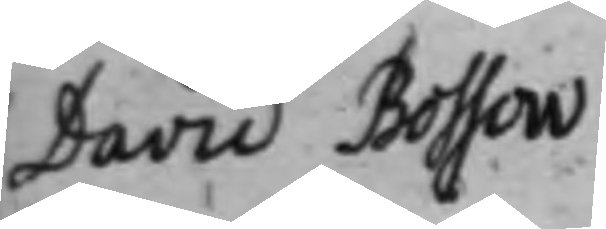David Bossow
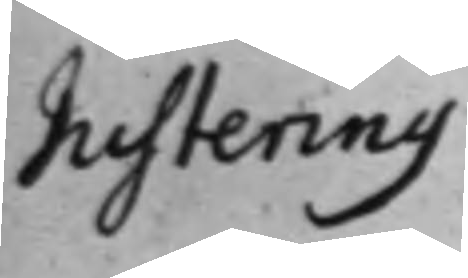Justering
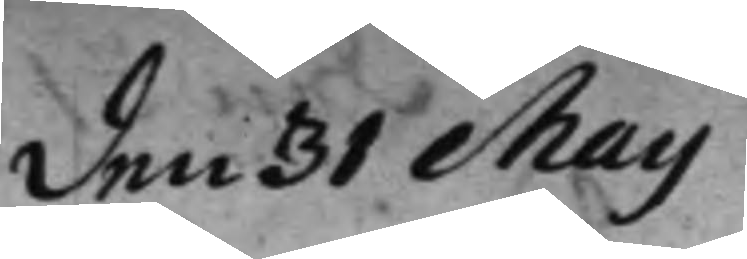den 31 Maij
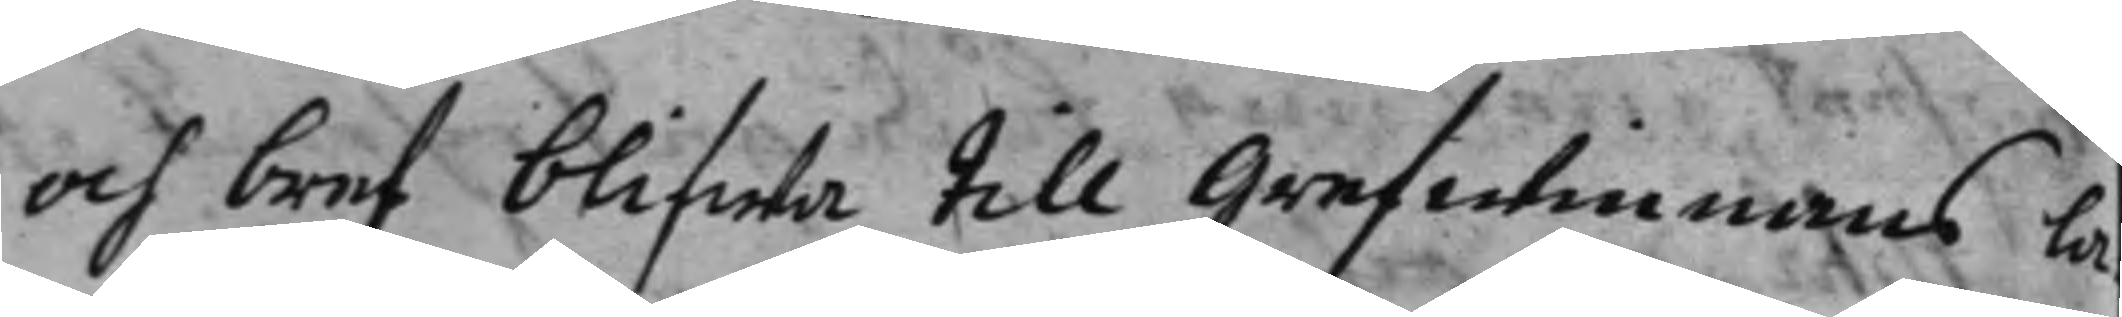och bref blifwa till Grefwinnans la¬
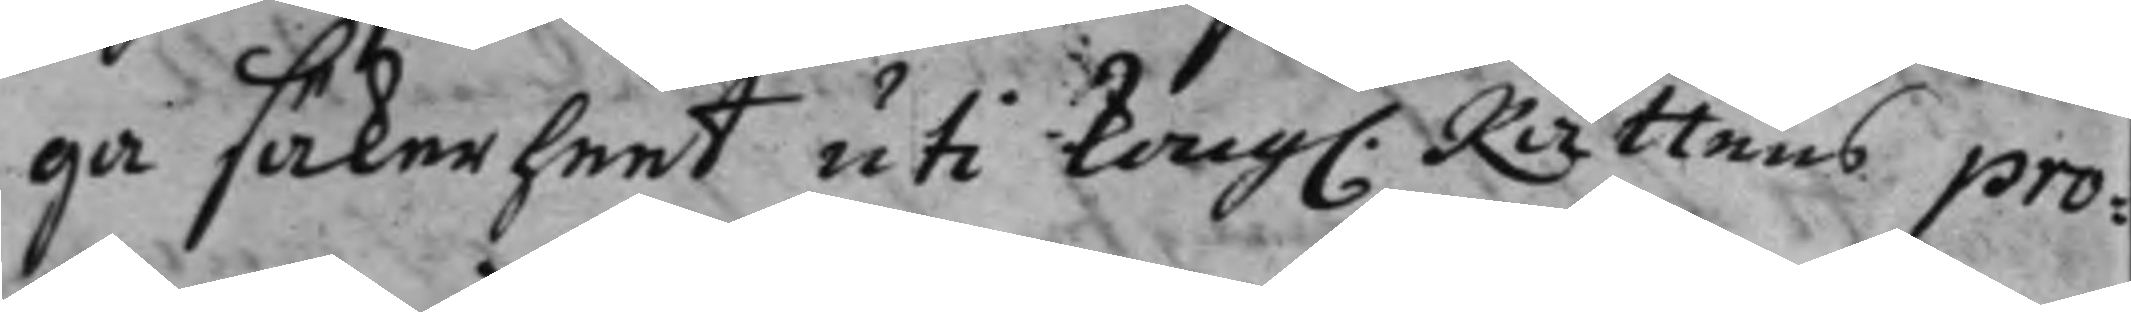ga säkerheet uti Kong. Rättens pro¬ 
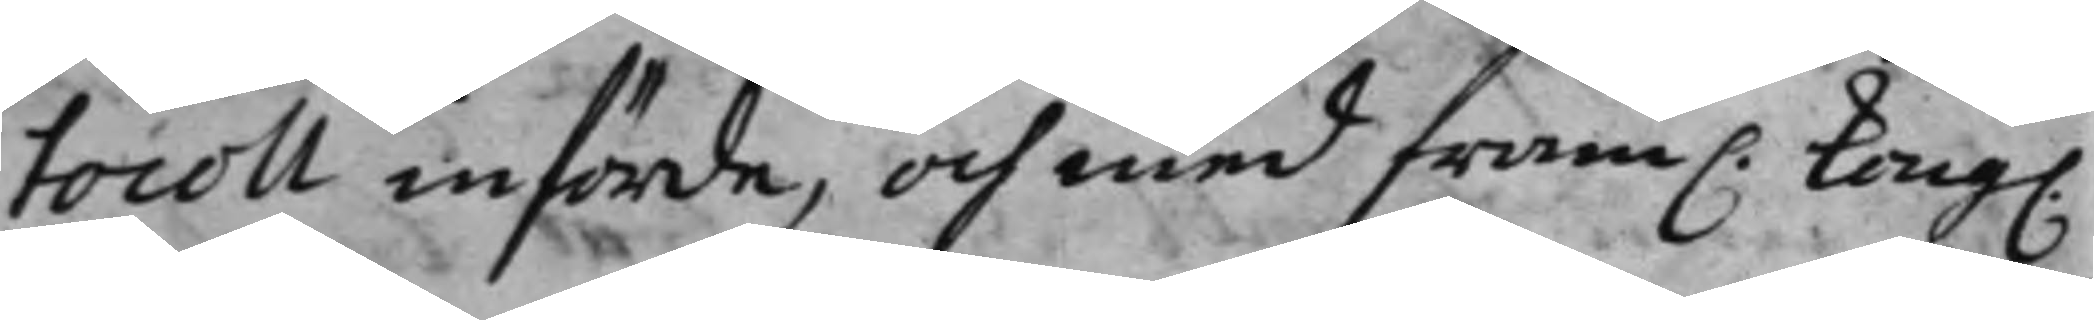tocoll införde, och med fram. Kong. 
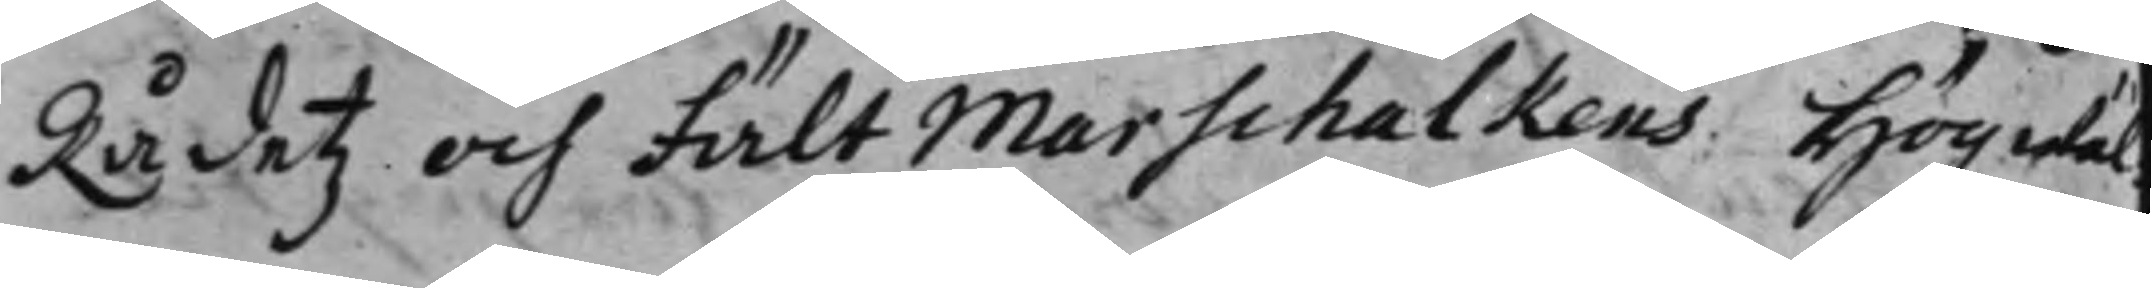Rådetz och Fält Marschalkens Högwäl¬
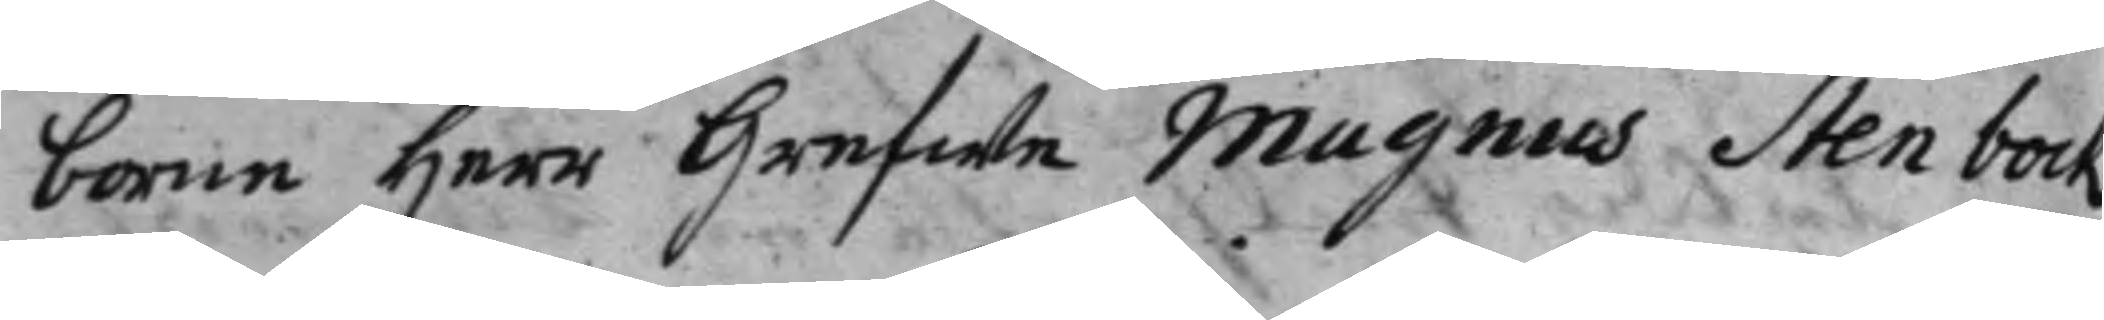borne Herr Grefwe Magnus Stenbock
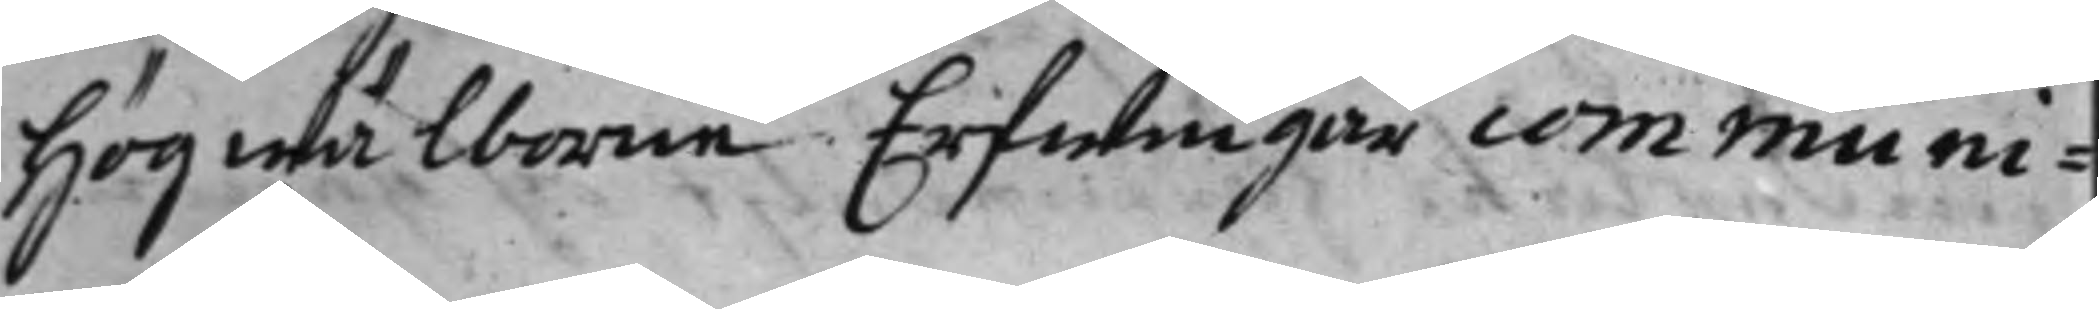Högwälborne Erfwingar communi¬
